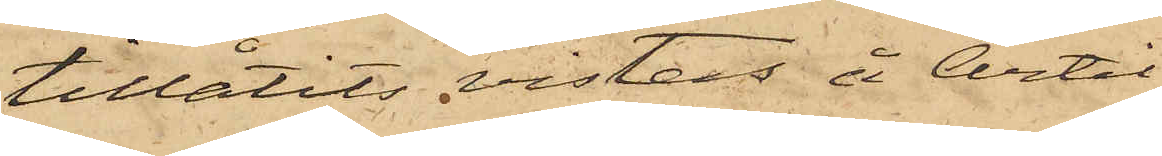tillåtits vistas å Artil¬
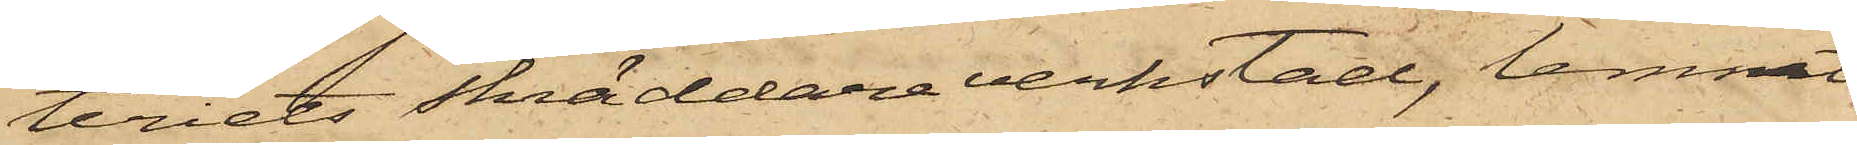teriets skräddareverkstad, lemnat
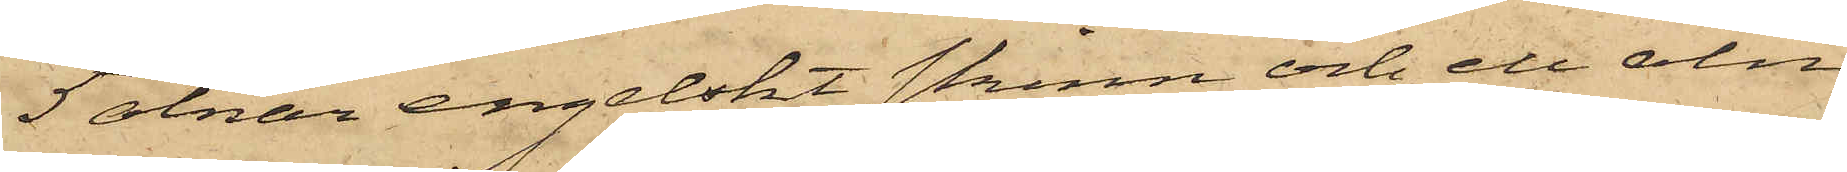5 alnar engelskt skinn och ett aln
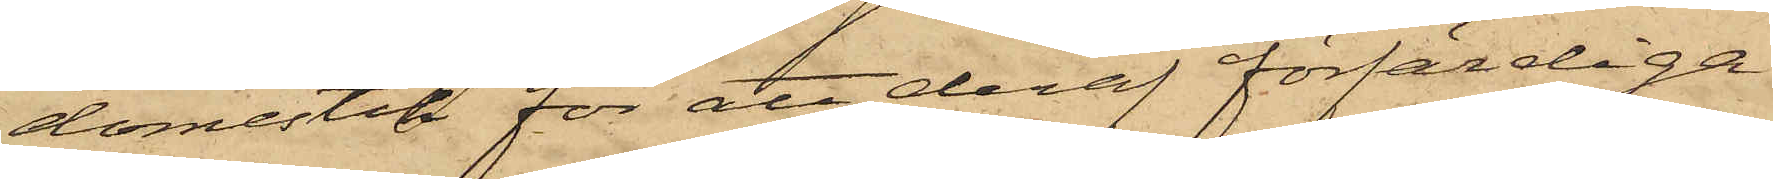domestik för att deraf förfärdiga
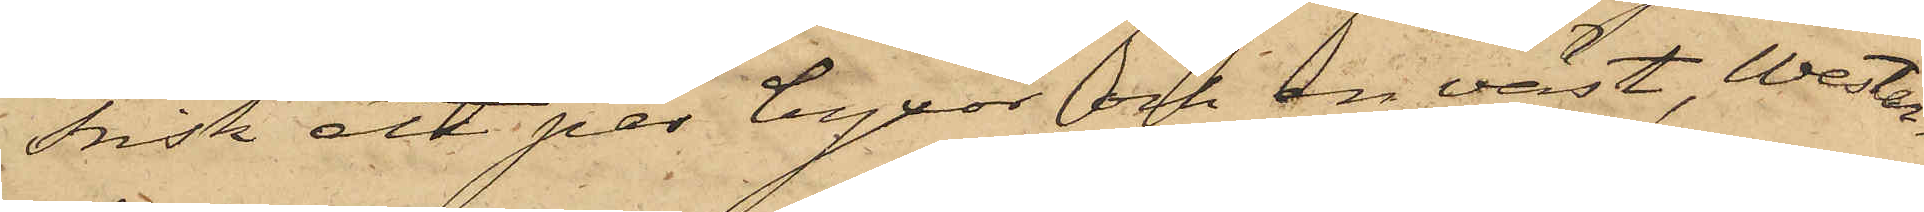Frisk ett par byxor och en väst, Wester¬
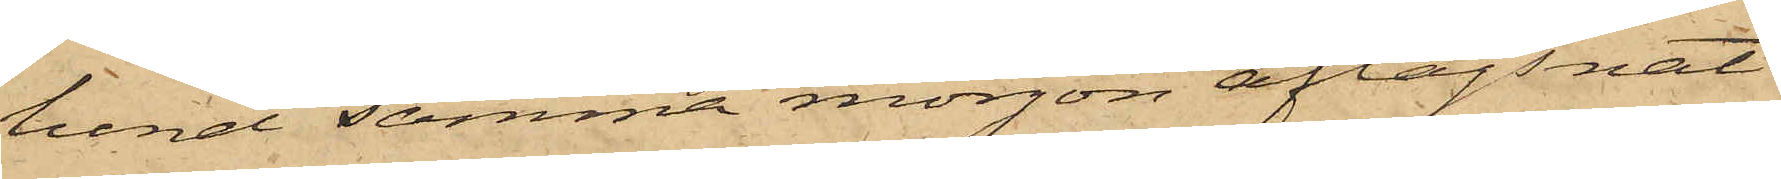lund samma morgon aflägsnat
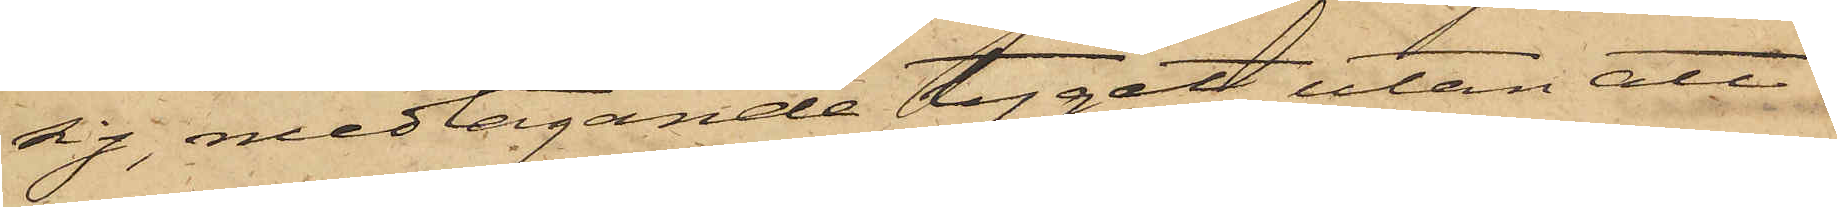sig, medtagande tyget, utan att
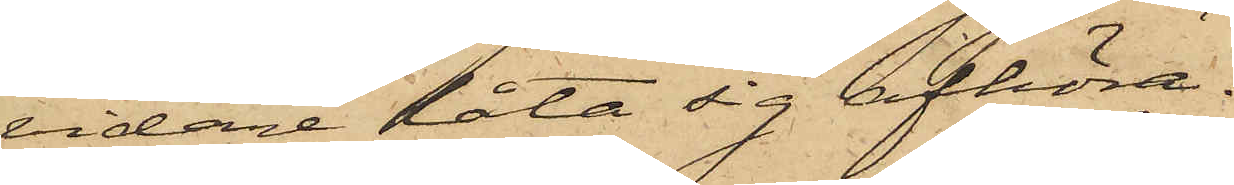vidare låta sig afhöra.
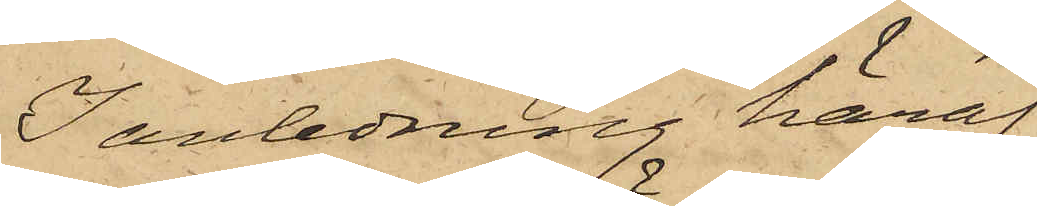I anledning häraf
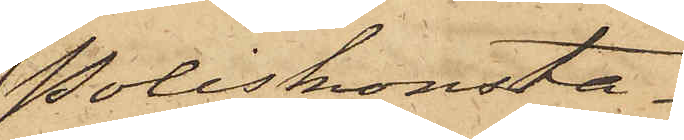Poliskonsta¬
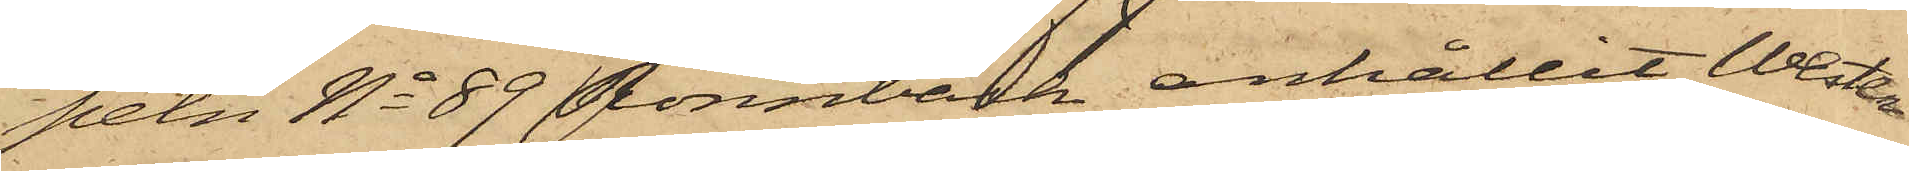peln No 89 Rönnbäck anhållit Wester¬
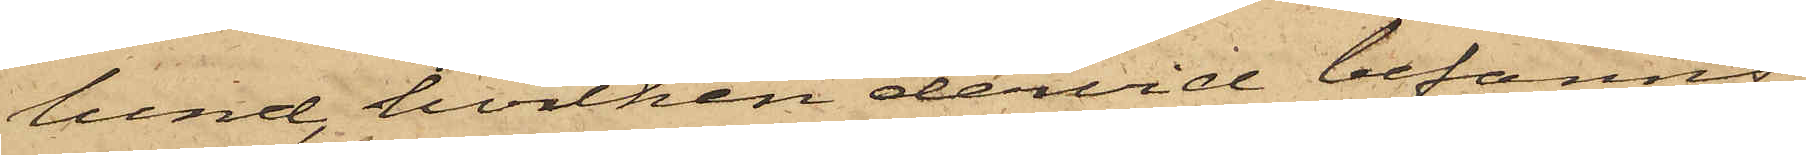lund, hvilken dervid befanns
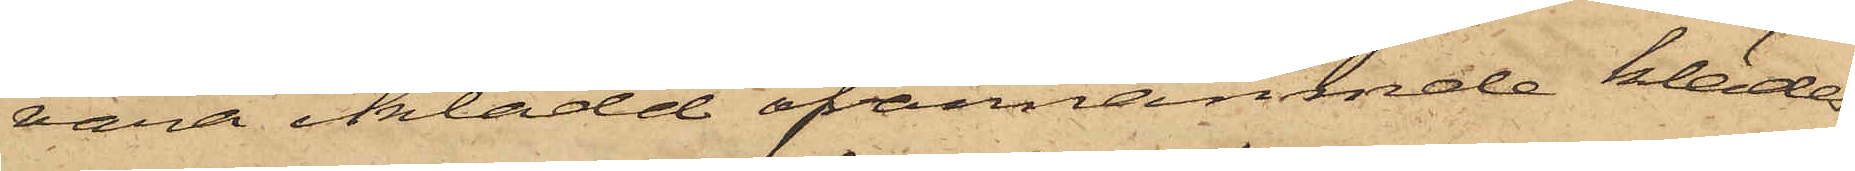vara iklädd ofvannämnde klädes¬
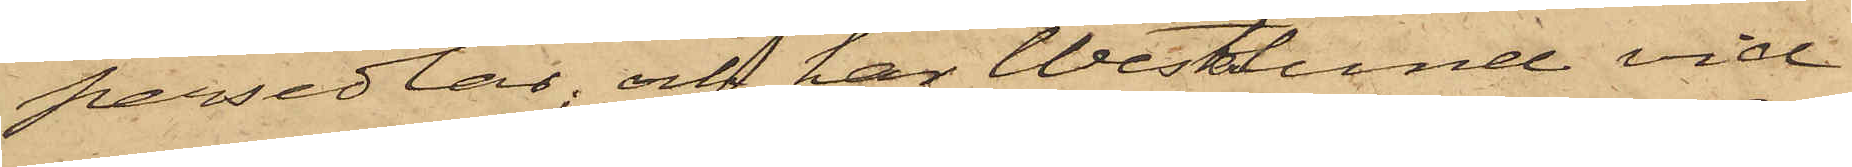persedlar; och har Westerlund vid
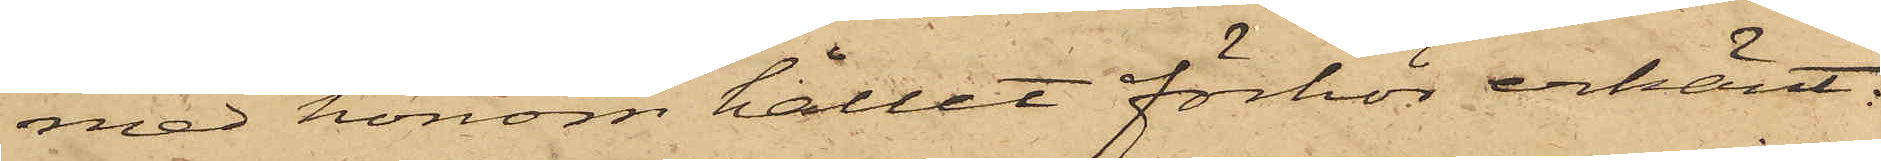med honom hållet förhör erkänt:
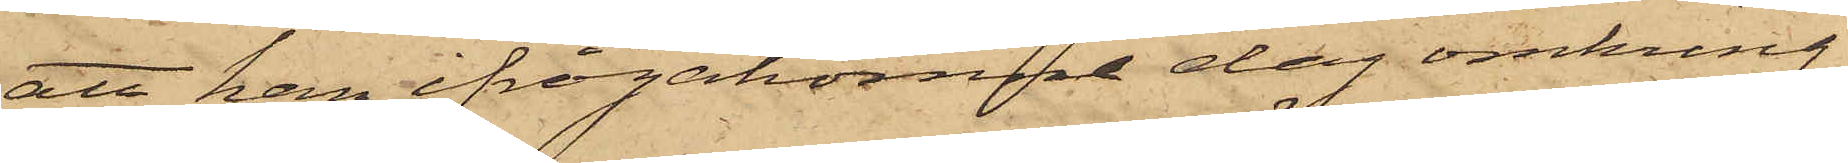att han ifrågakomne dag omkring
